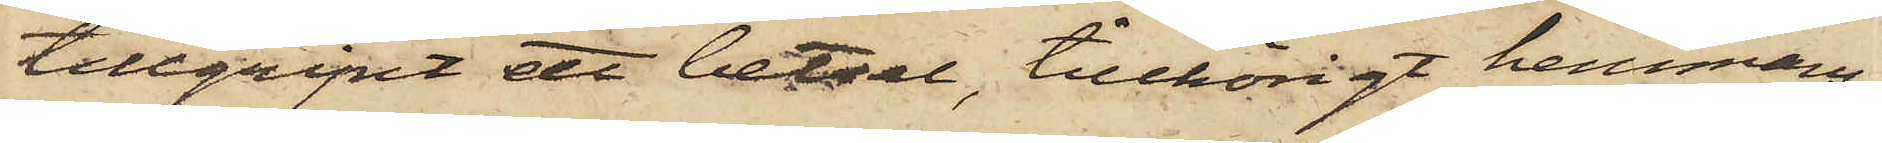tillgripit ett betsel, tillhörigt hemmans¬
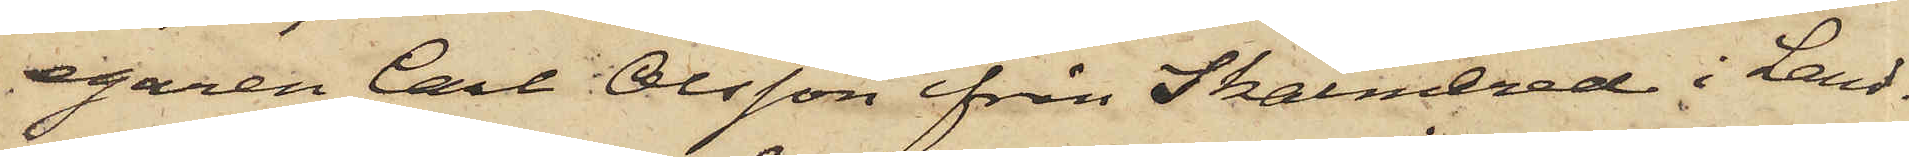egaren Carl Olsson från Skalmered i Land¬
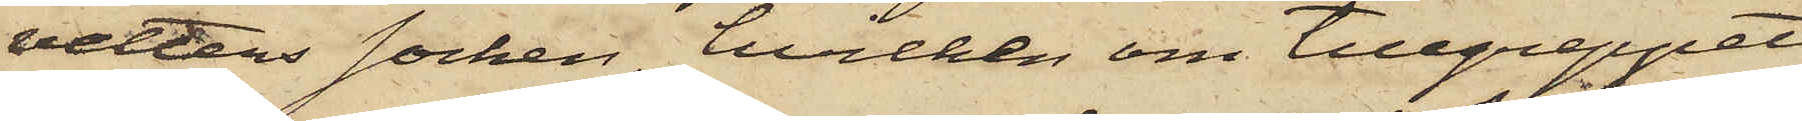vetters Socken, hvilken om tillgreppet
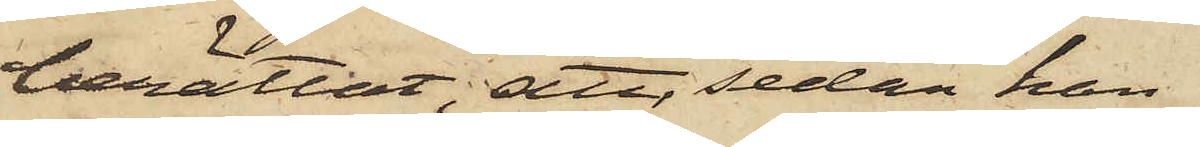berättat, att, sedan han
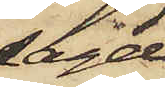sagde
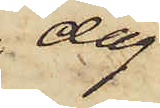dag
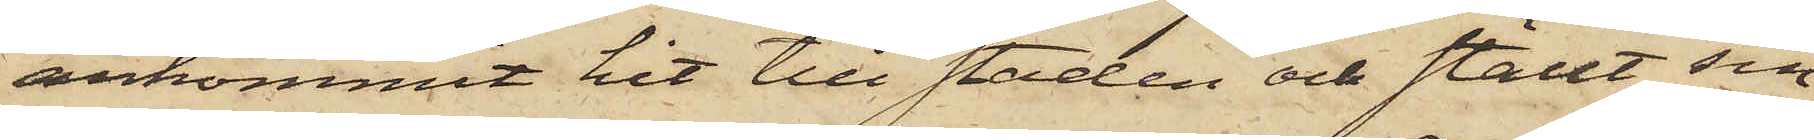ankommit hit till staden och ställt sin
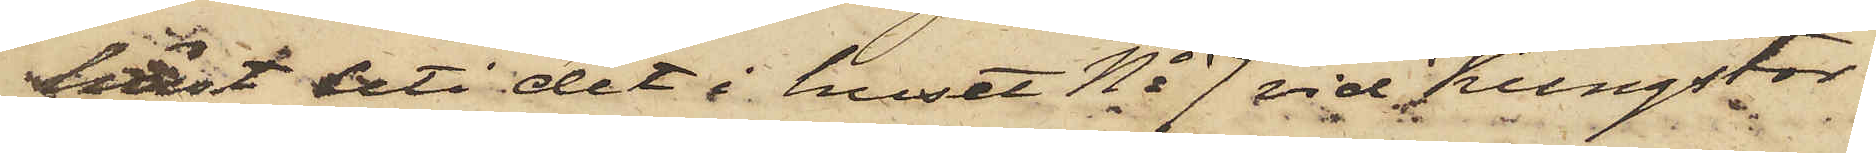häst uti det i huset No 7 vid Kungstor¬
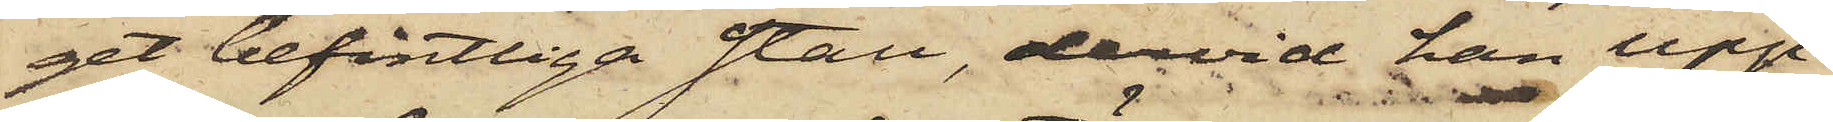get befintliga stall, dervid han upp¬
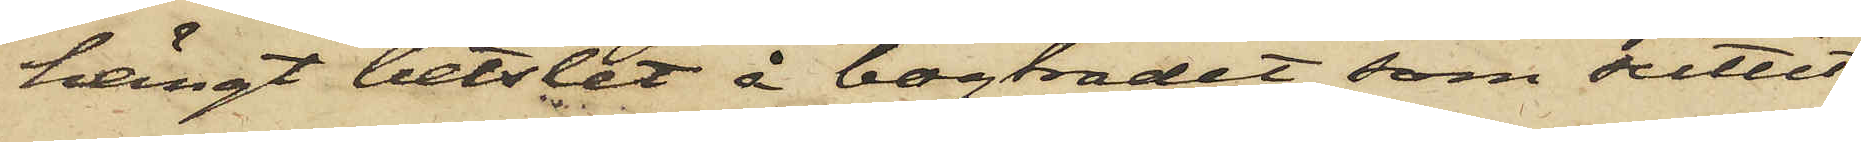hängt betslet å bogträdet, som suttit
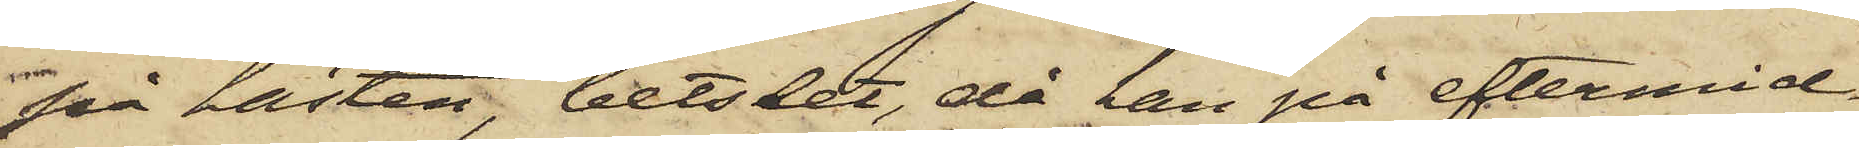på hästen, betslet, då han på eftermid¬
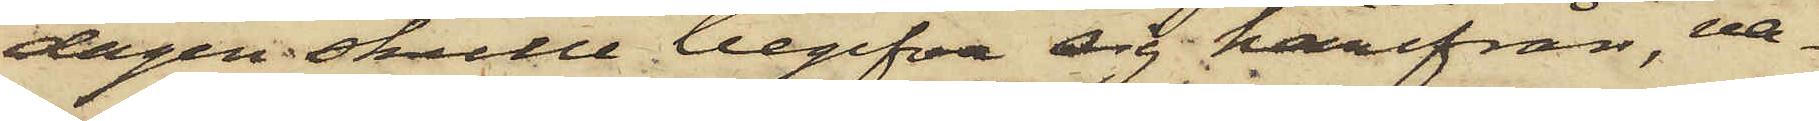dagen skulle begifva sig härifrån, va¬
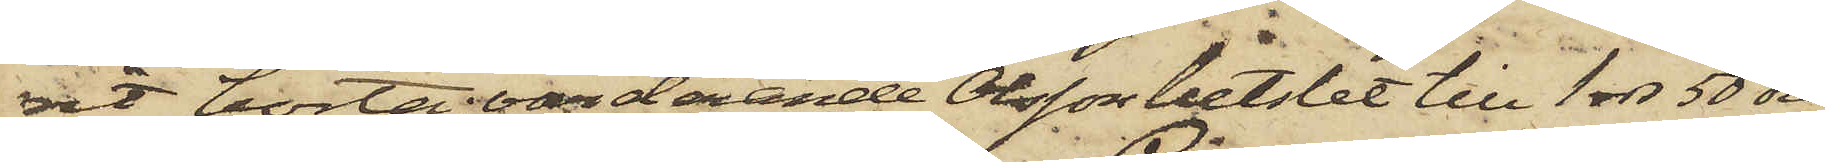rit borta, värderande Olsson betslet till 1 rdr 50 öre
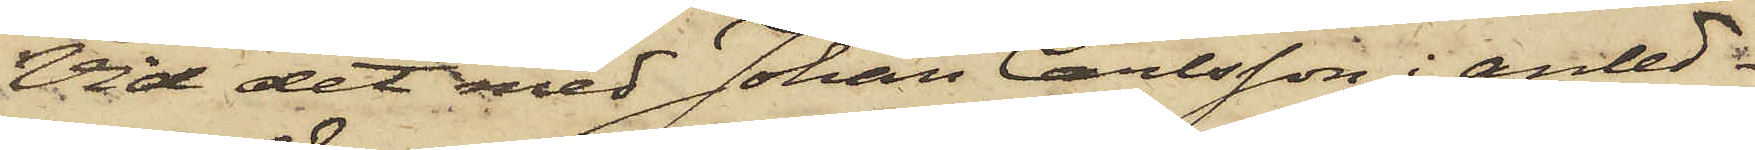Vid det med Johan Carlsson i anled¬
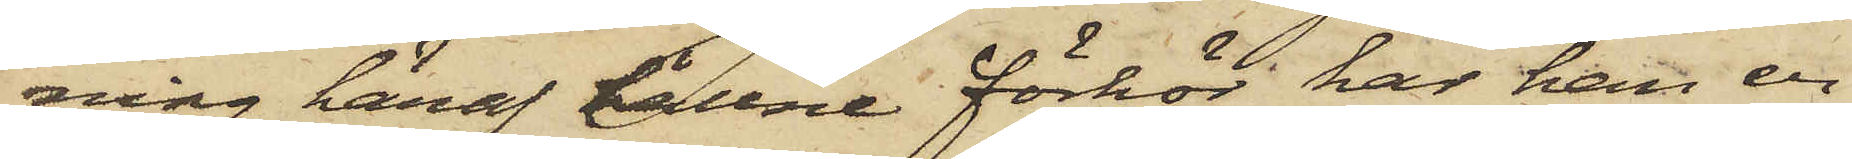ning häraf hållne förhör har han er¬
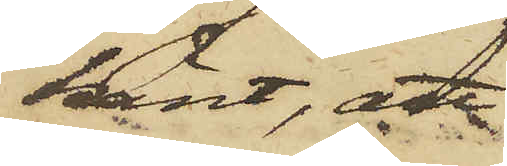känt, att
